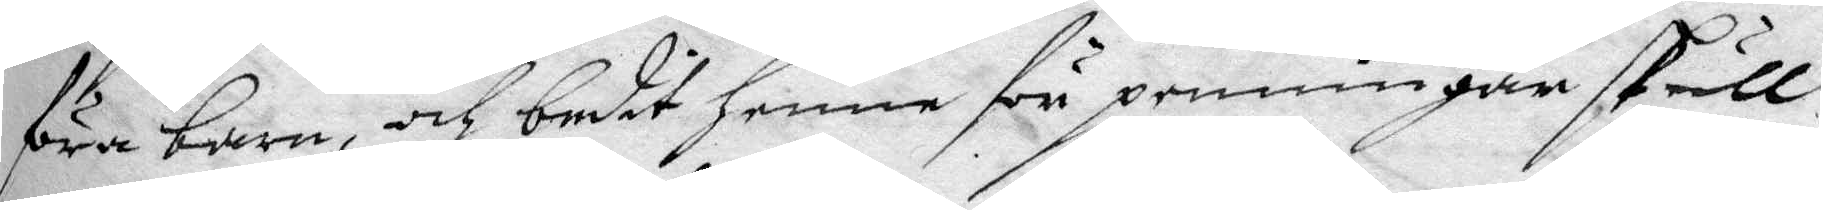föra barn, och bedit henne för penningar skull
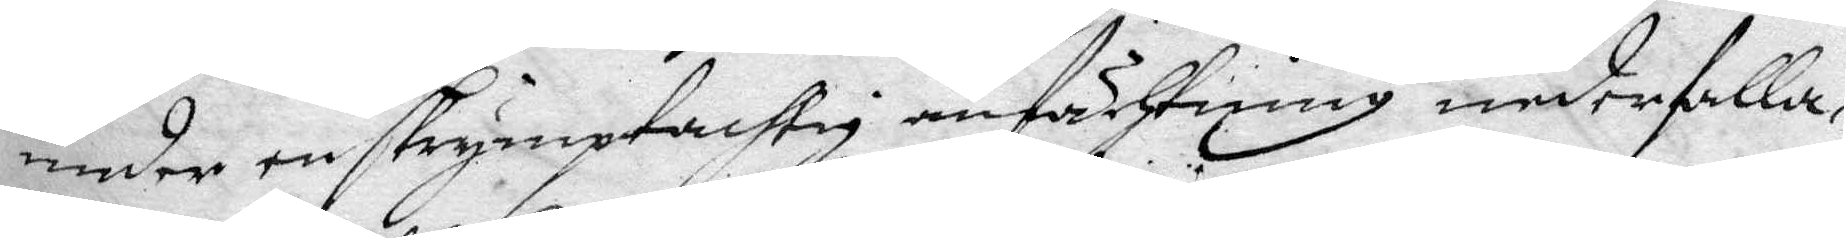under en skymptachtig anfächtning nederfalla
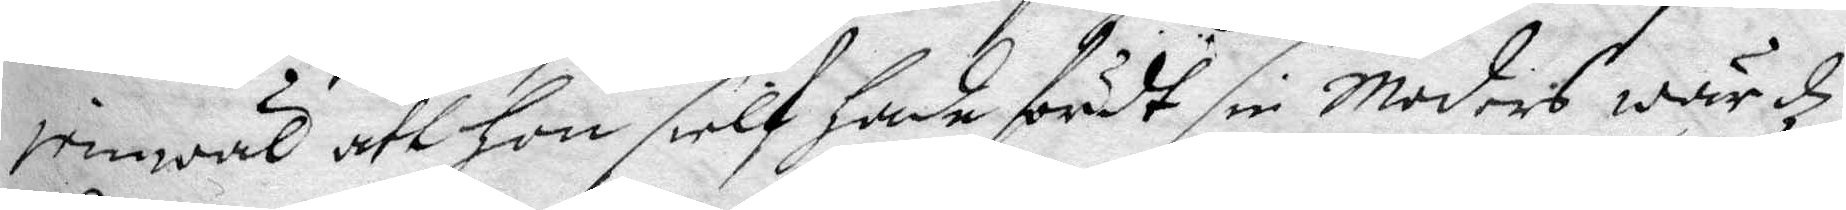jemqäl att hon sielf hade fördt sin moders wärdz
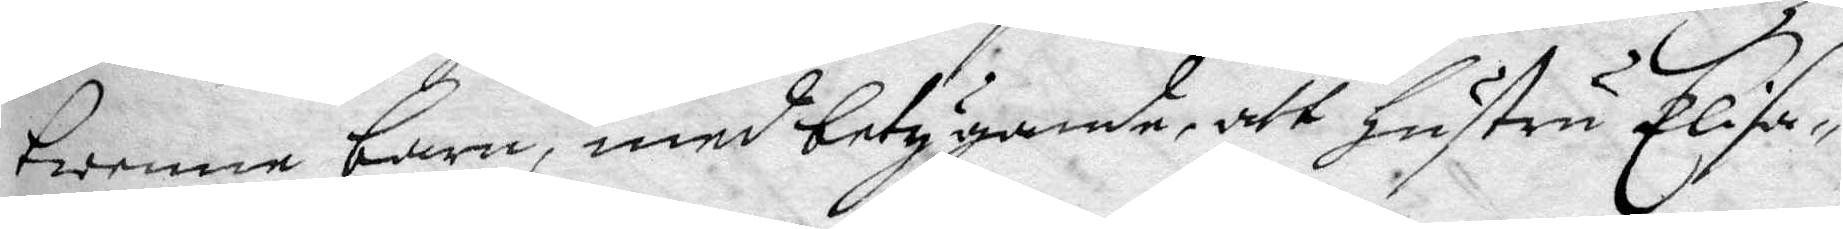twenne barn, med betygande, att hustru Elisa¬
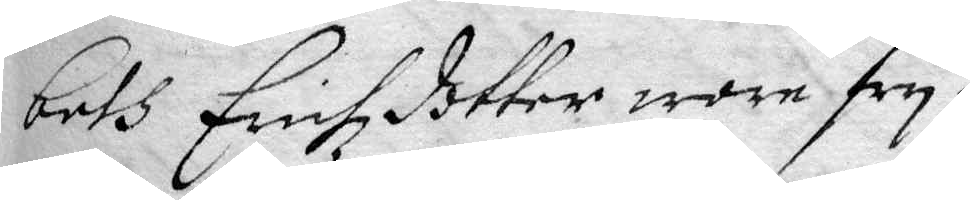beth Erichzdotter wore fry.
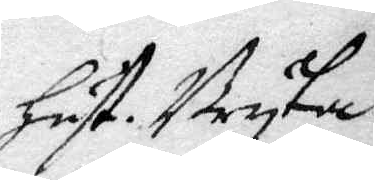hust. Bryta
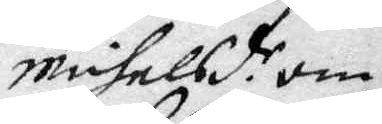michelsd.r om
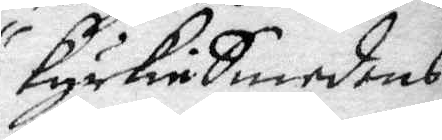kyrkieSmedens
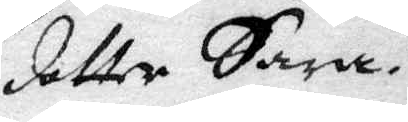dotter Sara.
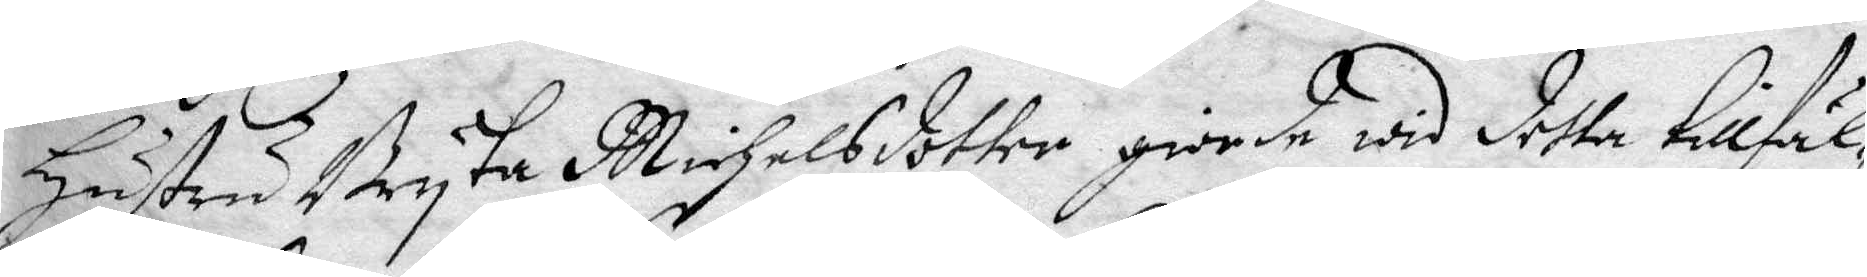hustru Bryta Michelsdotter giorde wid detta tillfä¬
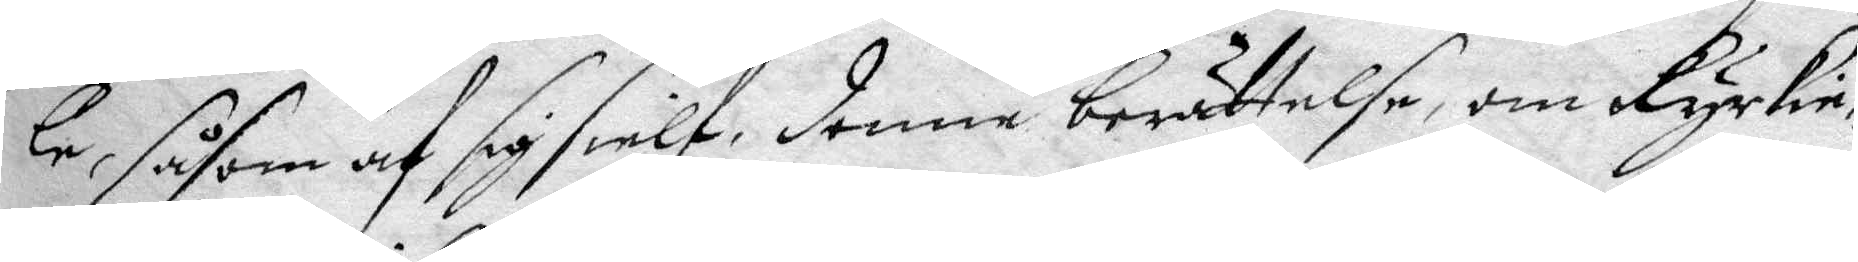le, såsom af sig sielf, denne berättelse, om kyrkie¬
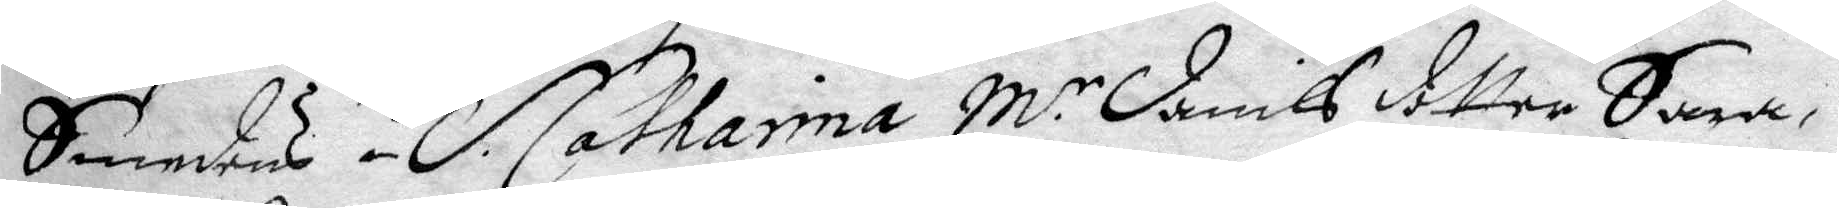Smedens i S. Catharina M.r Danils dotter Sara,
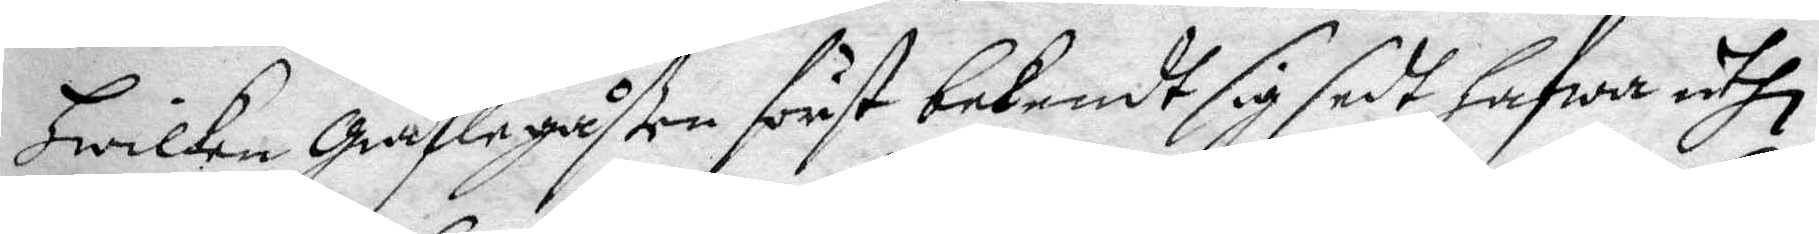hwilken Giäflegåßen först bekendt sig sedt hafwa uthi
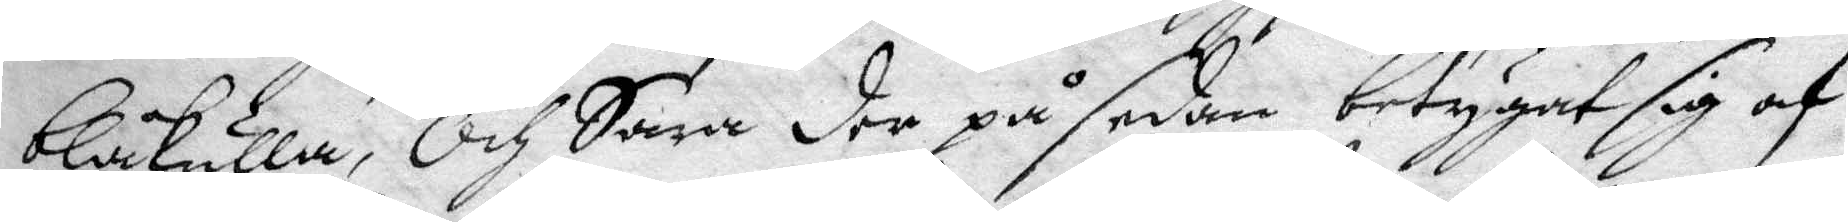blåkulla, Och Sara der på sedan beyugat sig af
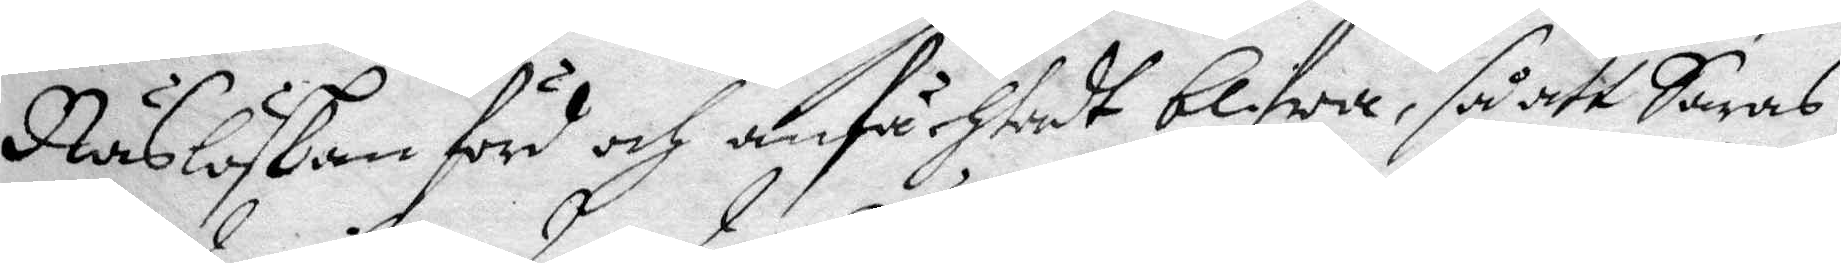Näslöskan förd och anfächtadt blifwa, så att Saras
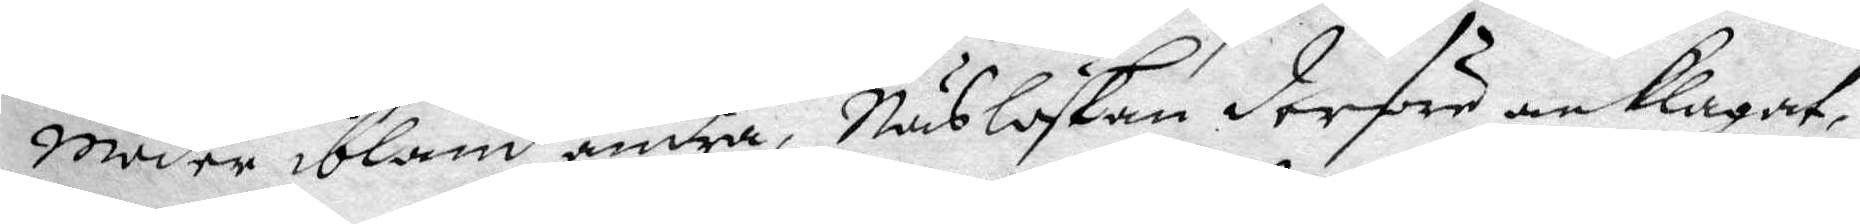moder ibland andra, Näslöskan derföre anklagadt,
